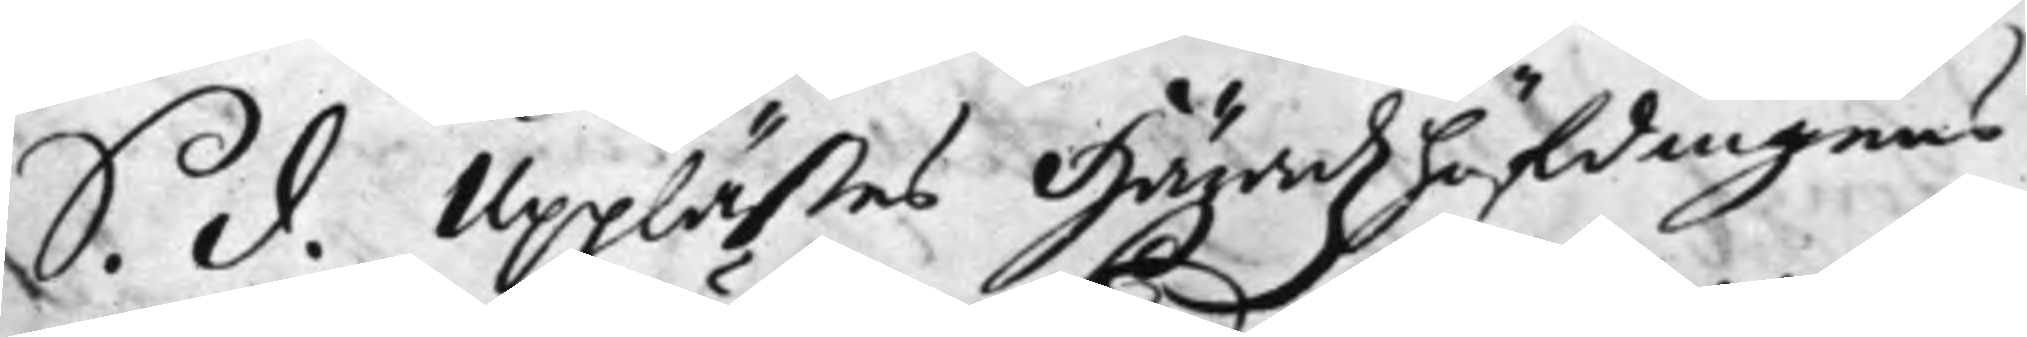S. d. Upplästes Häradzhöfdingens
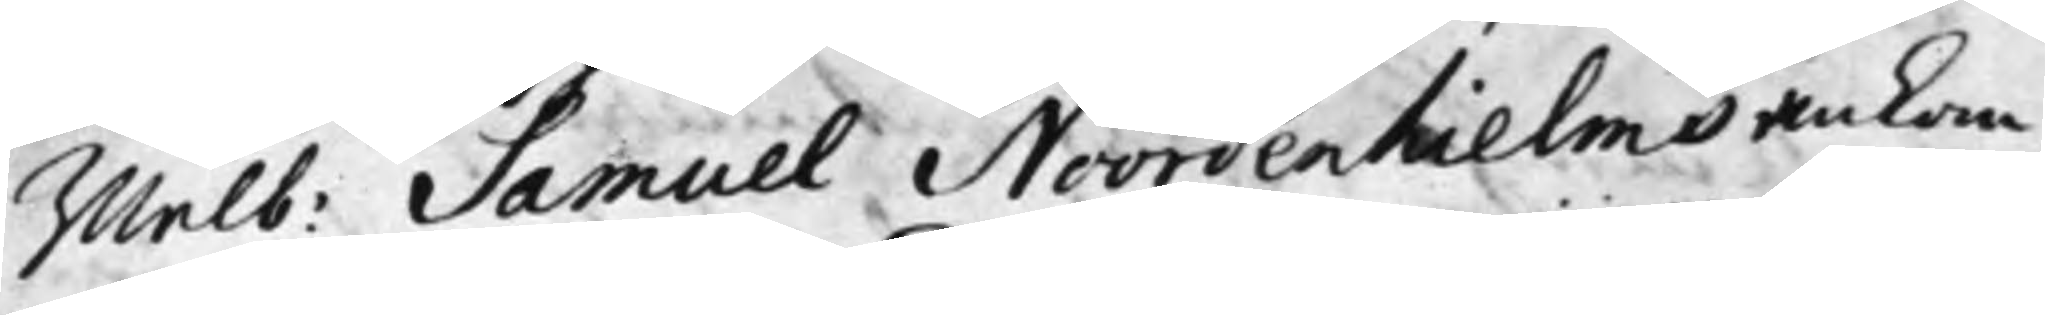Wälb: Samuel Noordenhielms ankom¬
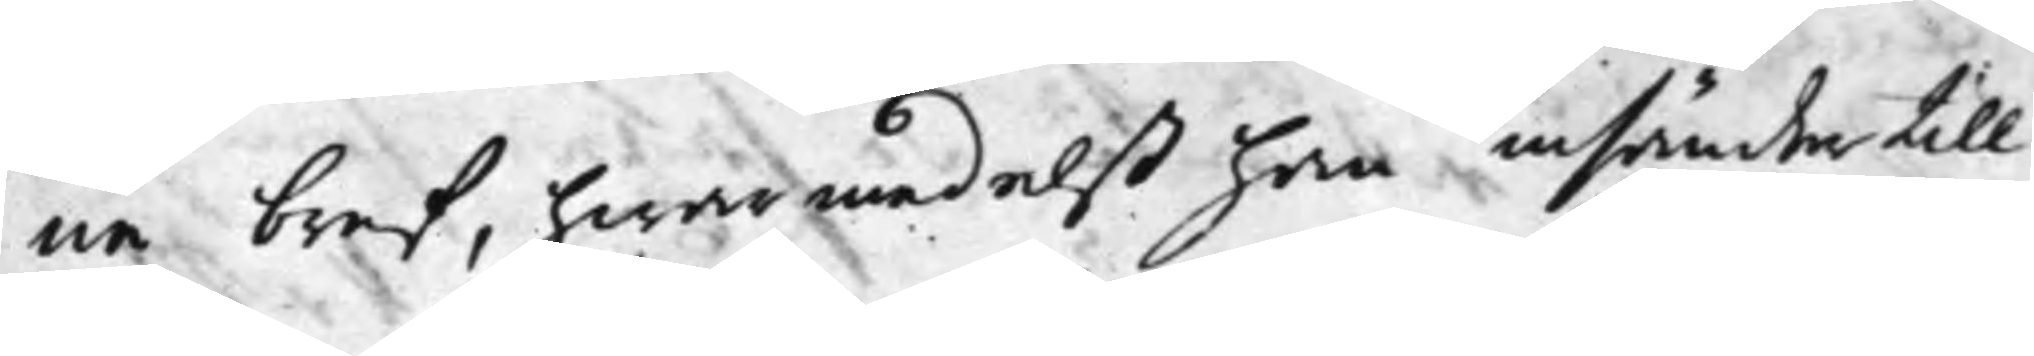ne bref, hwarmedelst han insände till
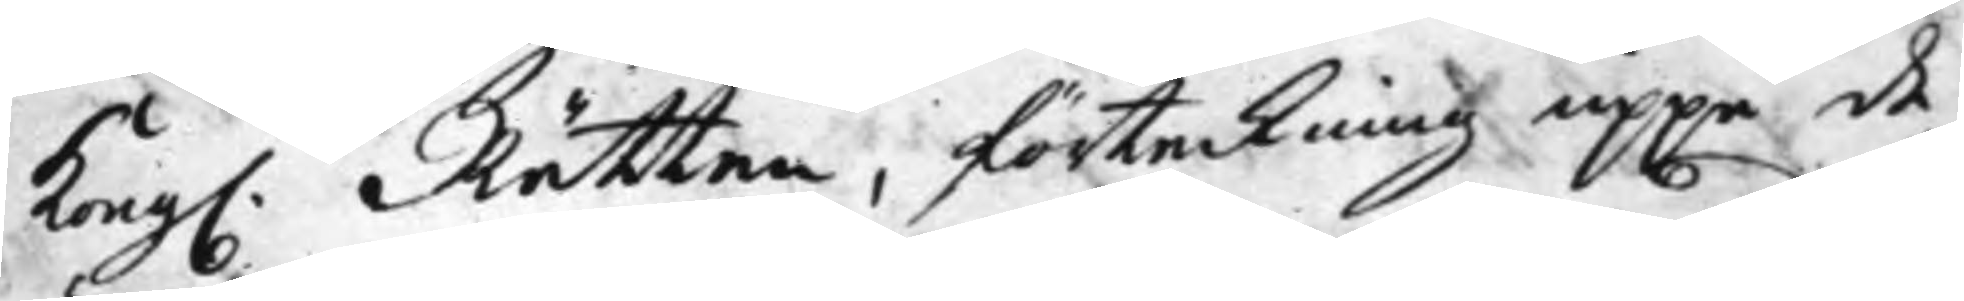Kong. Rätten, förteckning uppå de
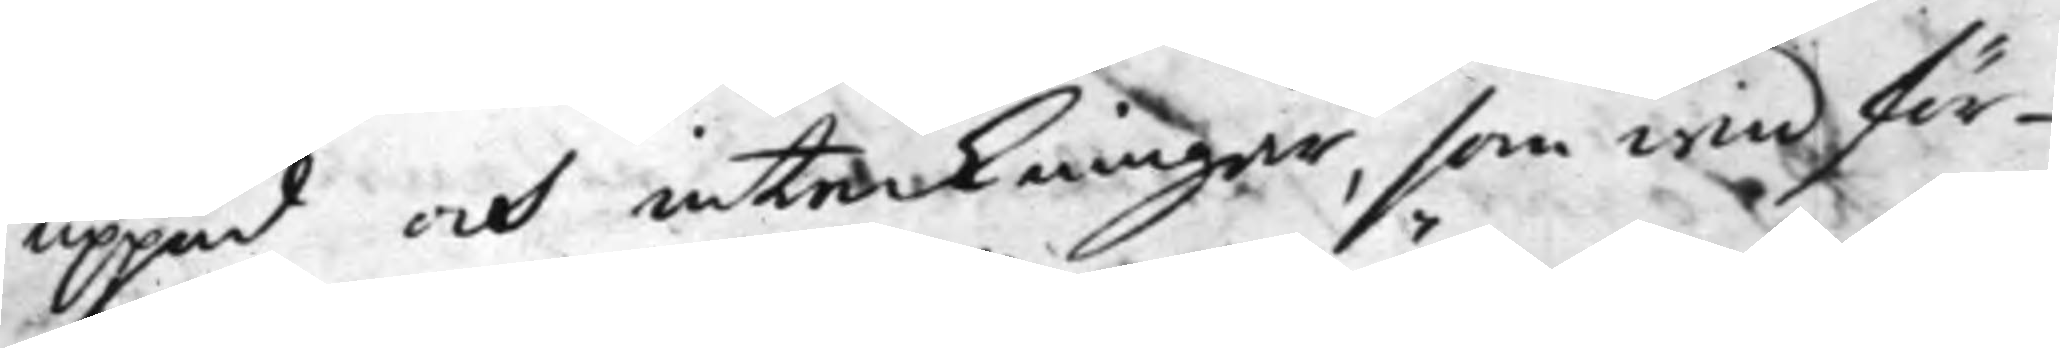uppud och inteckningar, som wid för¬
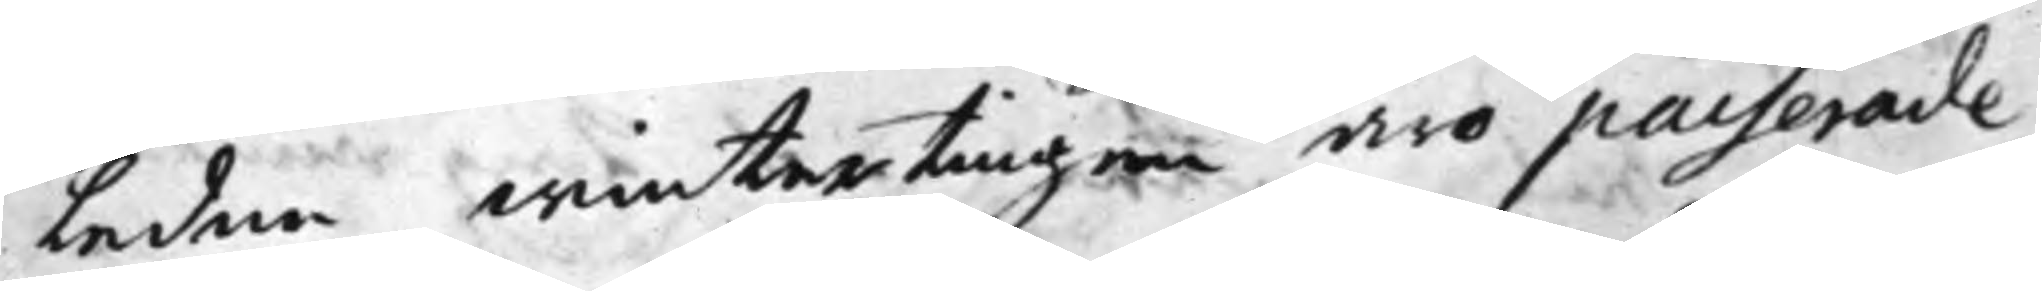ledne wintertingen äro passerade,
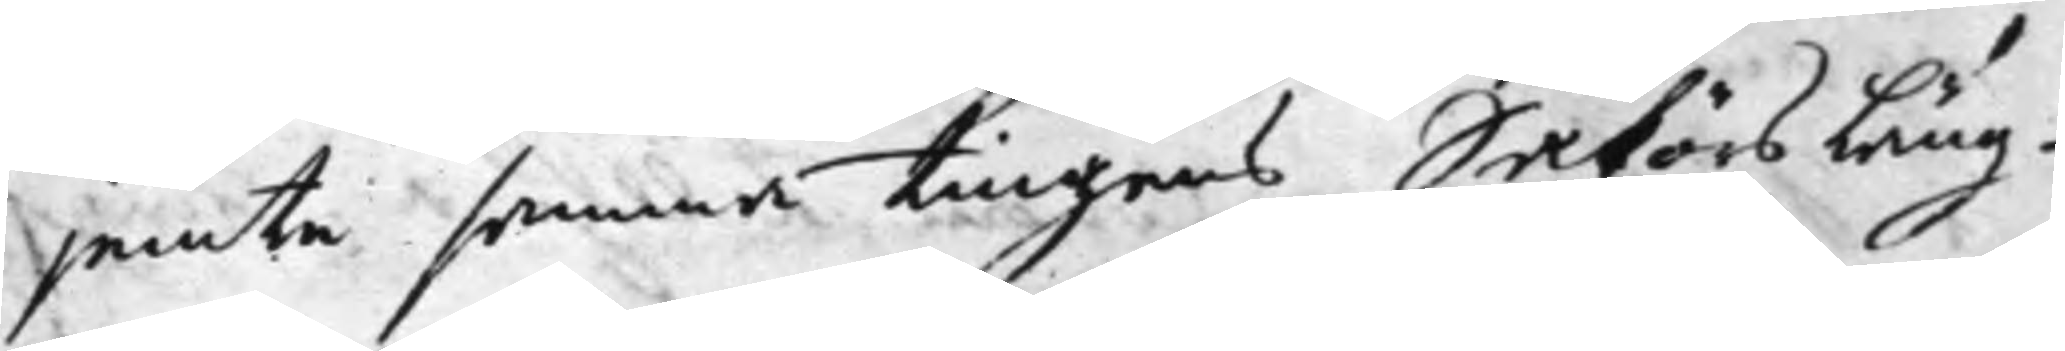jemte senare tingens Saköres Läng¬
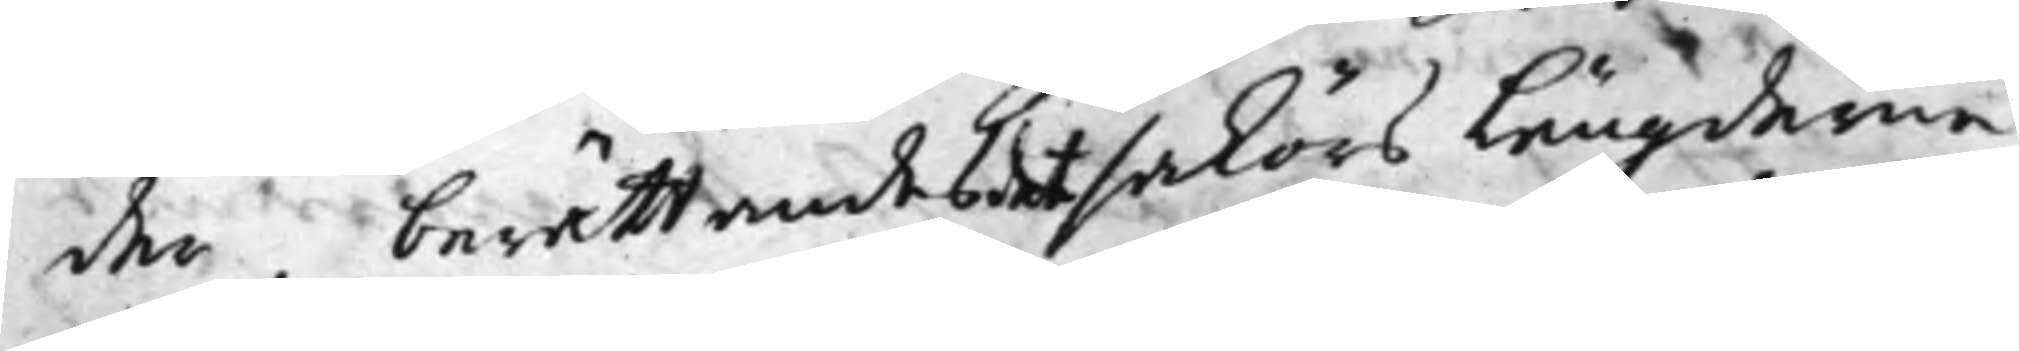der, berättandes det saköres Längderne,
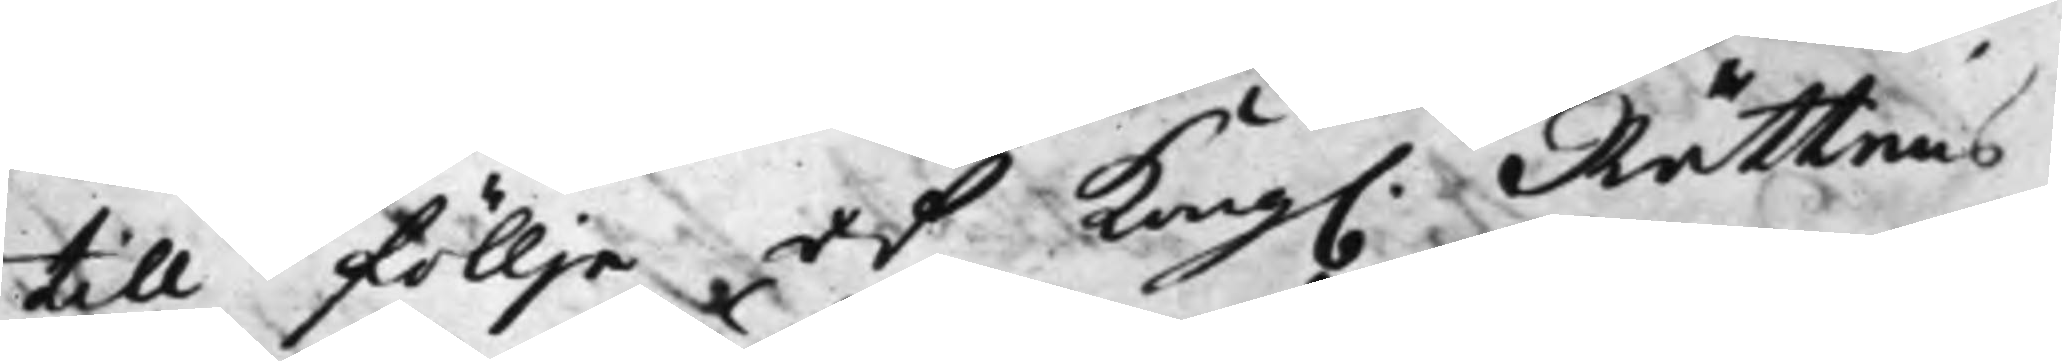till föllje af Kong. Rättens
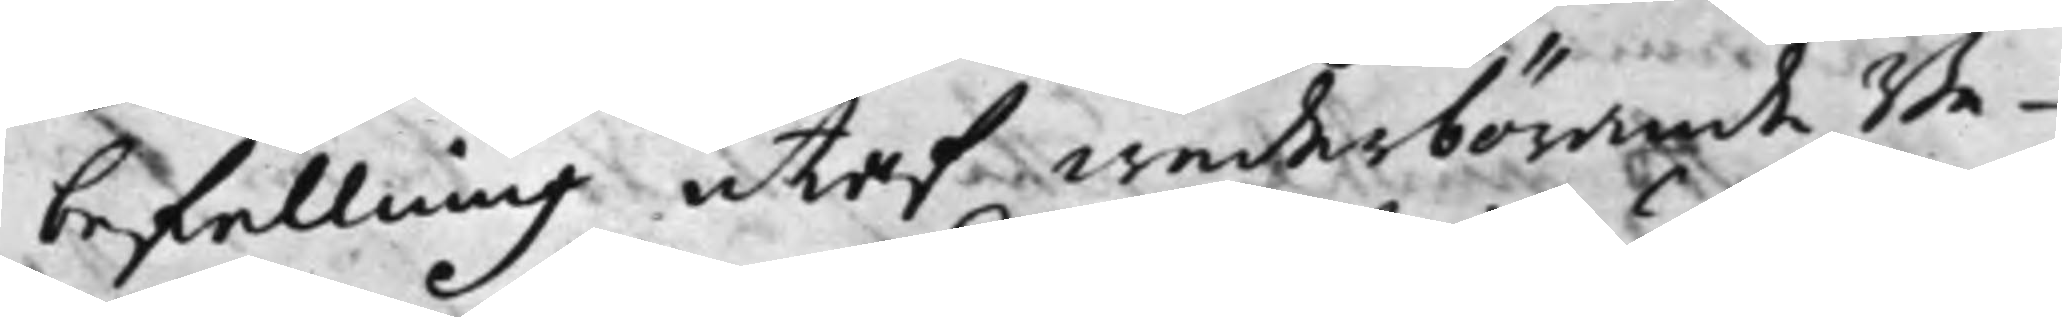befallning utaf wederbörande Be¬
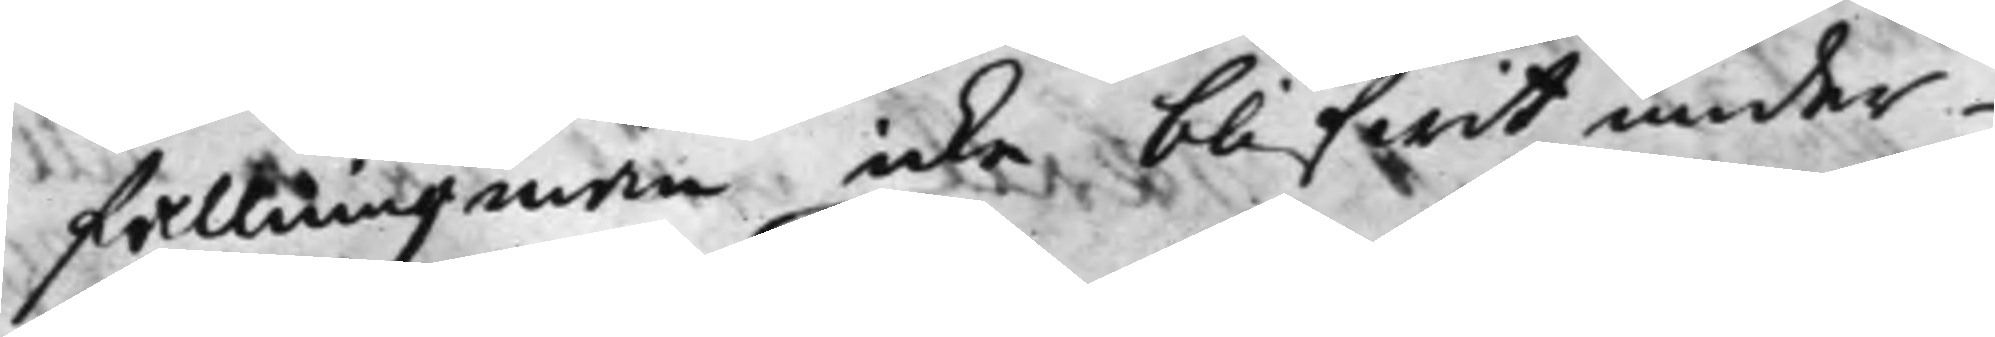fallningzmän icke blifwit under¬
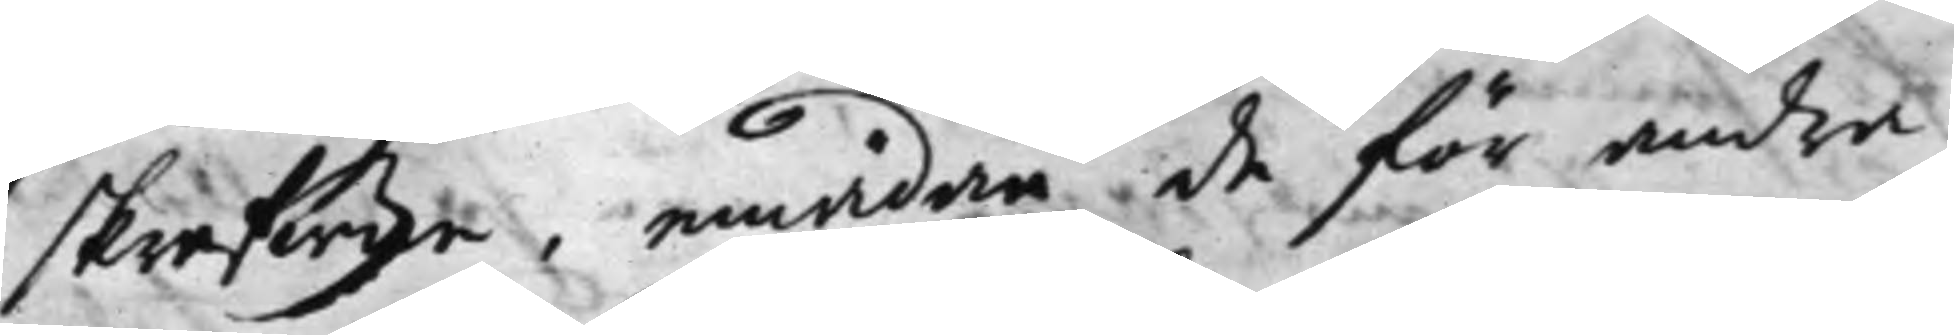skrefwne, emädan de för andra
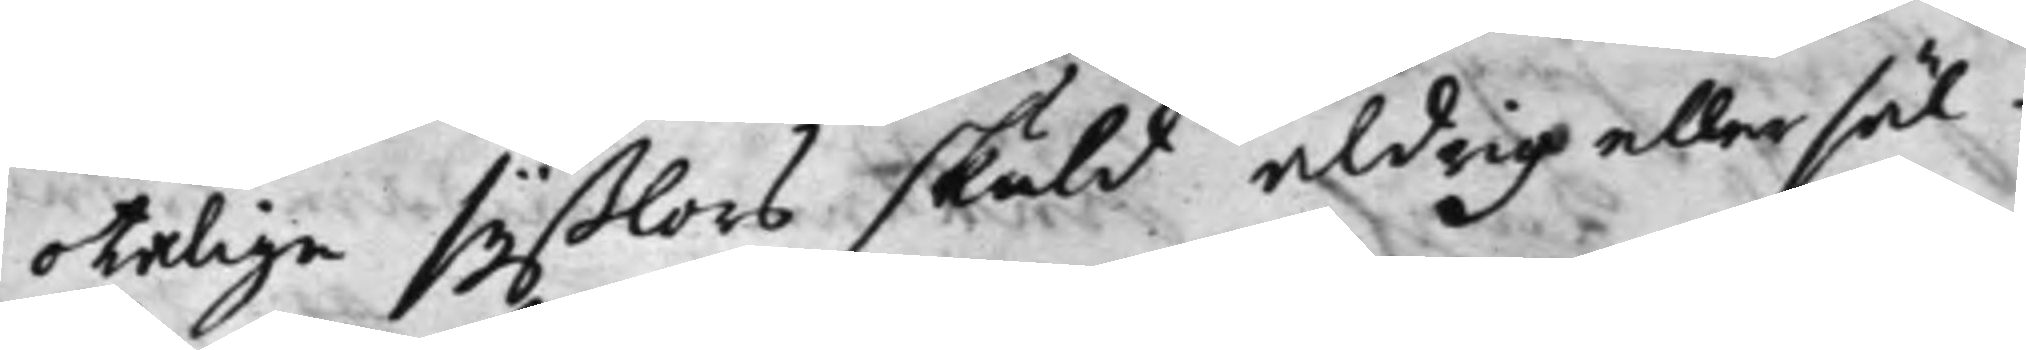otalige syßlors skuld aldrig eller säl¬
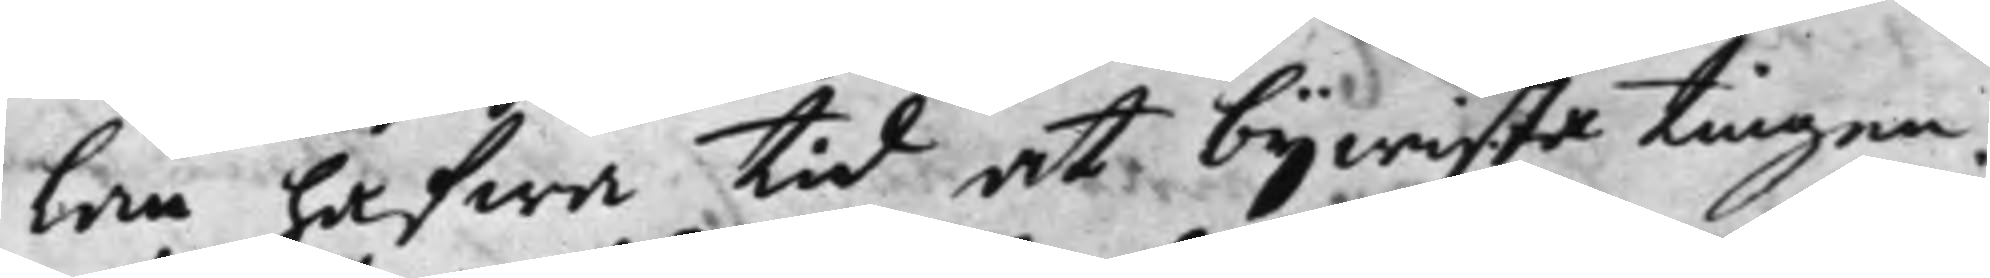lan hafwa tid at bijwista tingen.
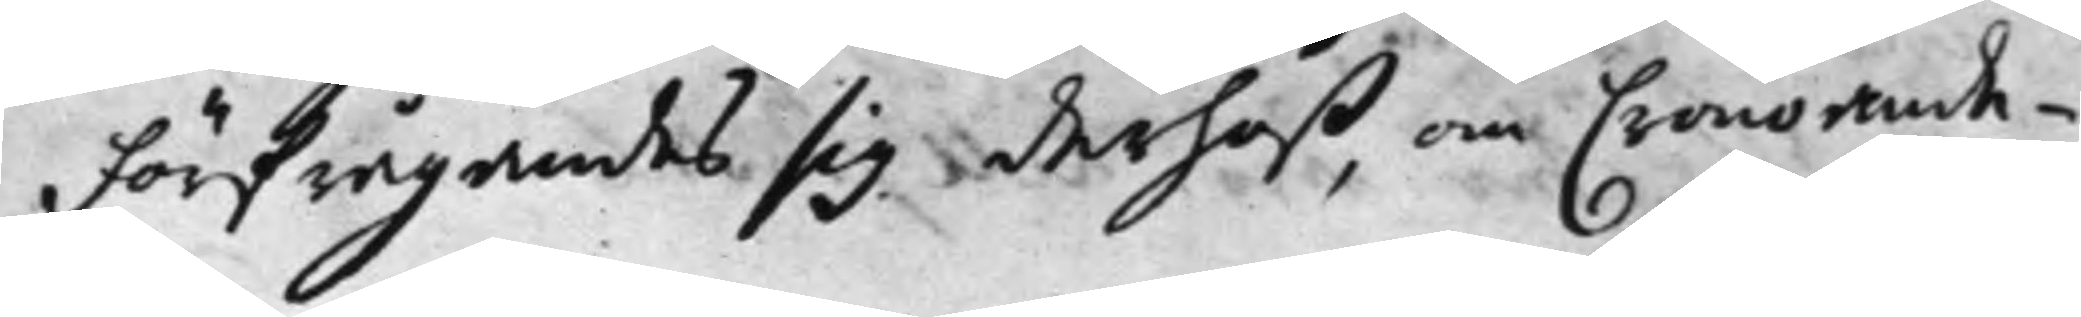Förfrågandes sig derhoß, om Cronoande¬
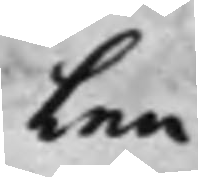len
